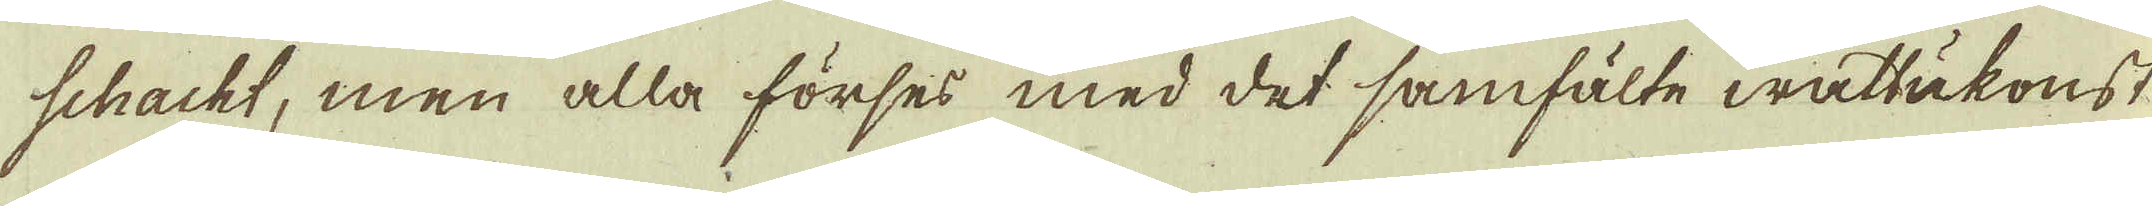schacht, men alla förses med det samfälte wattukonst
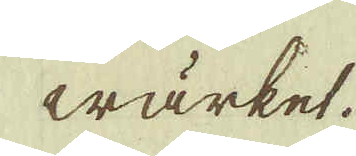wärket.
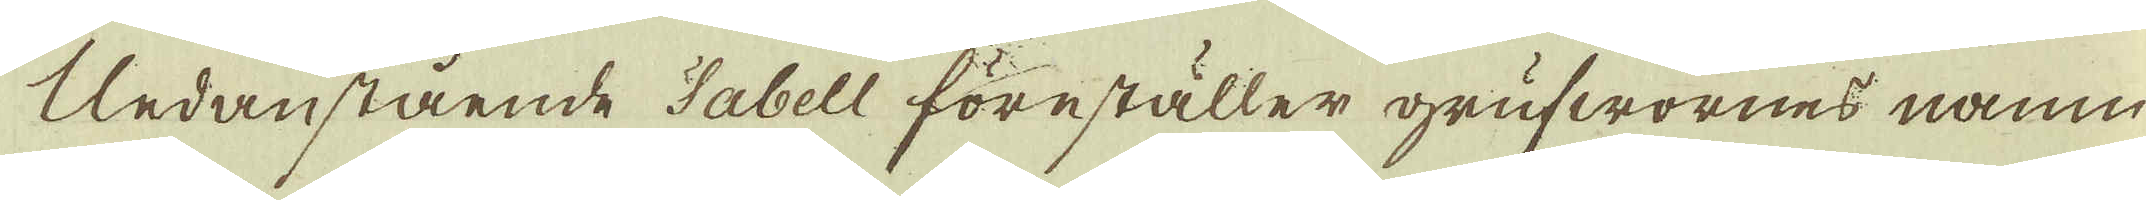Undanstående Tabell föreställer grufwornes namn
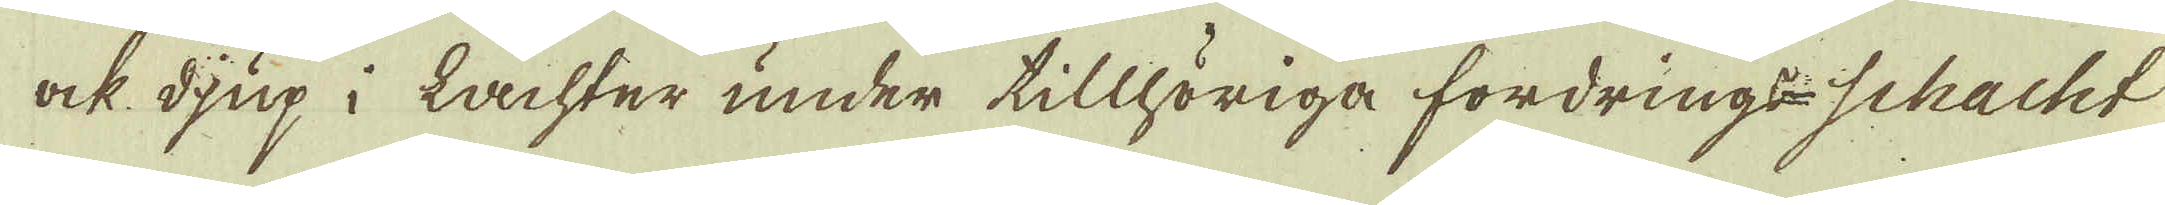ock djup i lachter under tillhöriga fordrings-schacht
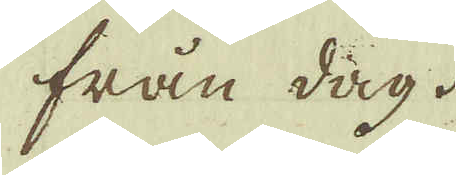från dag.
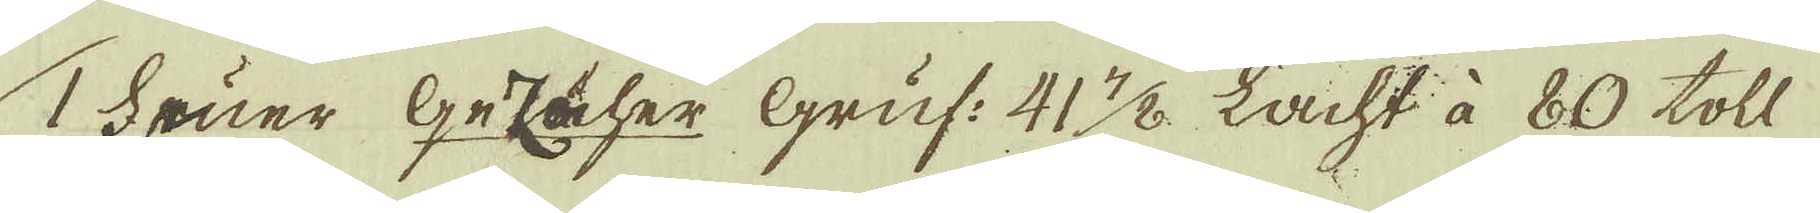1 Fruer Gezäher Gruf: 41. 7/8. Lacht à 80 toll
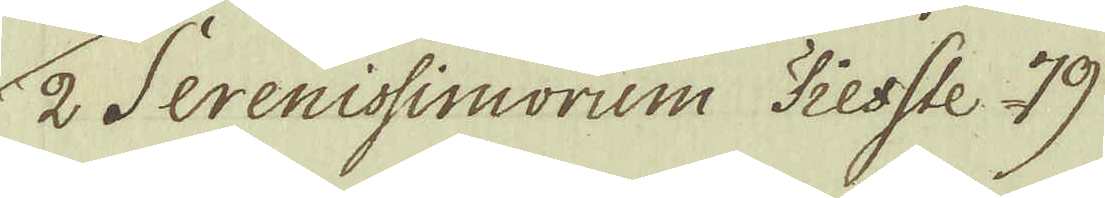2 Serenissimorum Tiefste 79.
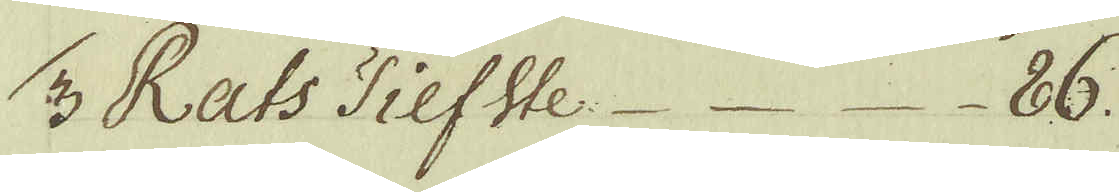3 Rats tiefste 86.
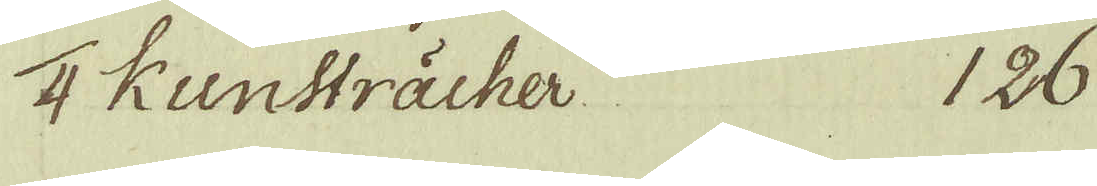4 Kunsträcher. 126
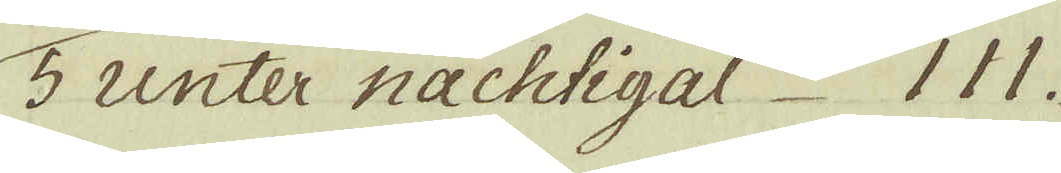5 unter nachtigal 111.
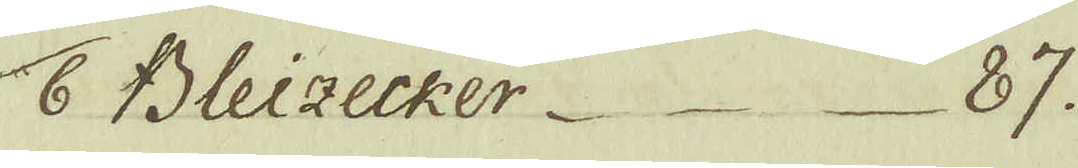6 Bleizecker. 87.
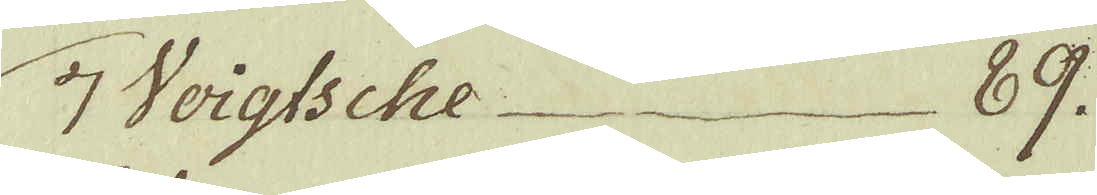7 Voigtsche 89.
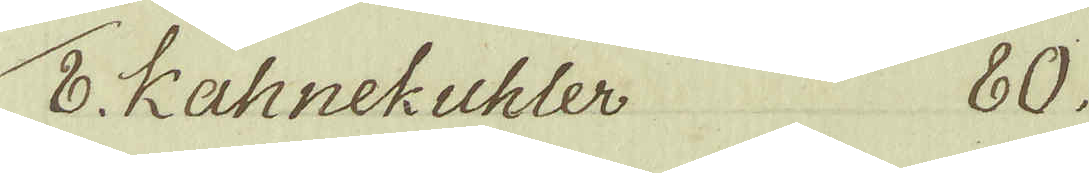8 Kahnekuhler 80.
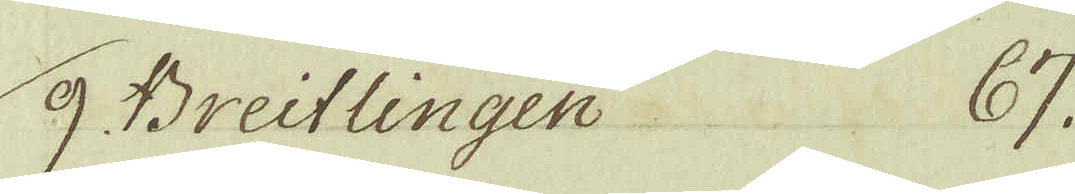9. Breitlingen 67.
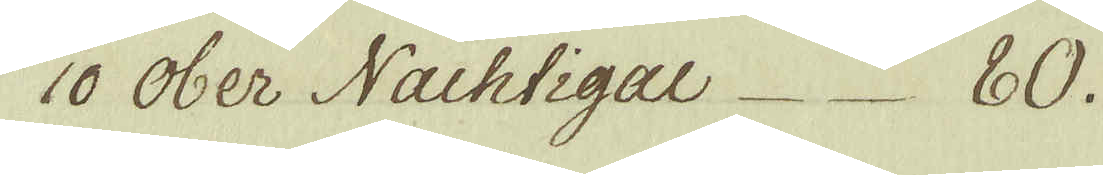10 Ober Nachtigal 80.
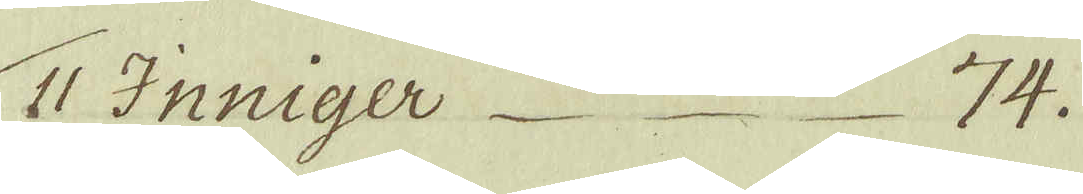11 Inniger 74.
